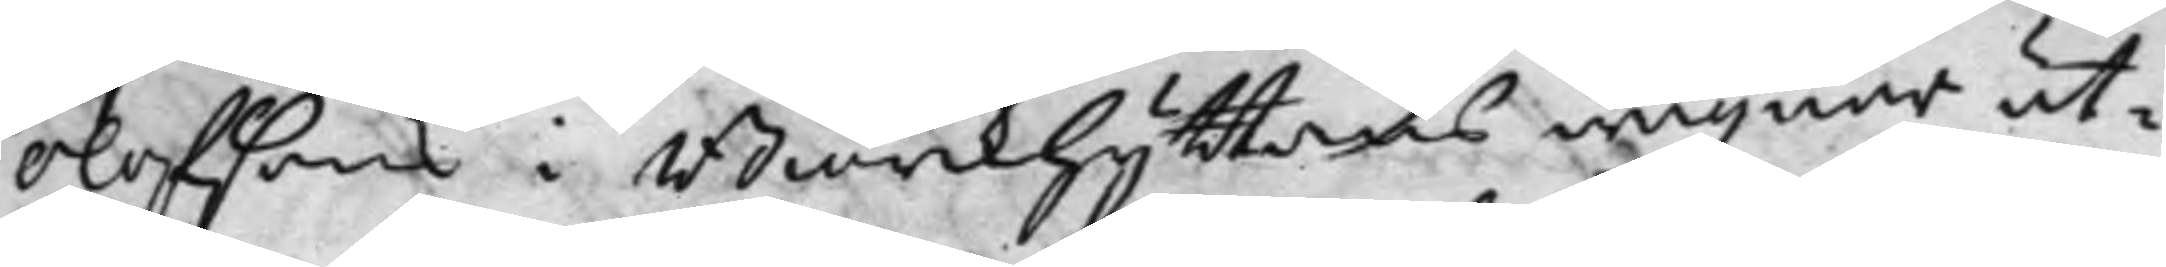Olofsons i Biörkhyttans wägnar ut¬
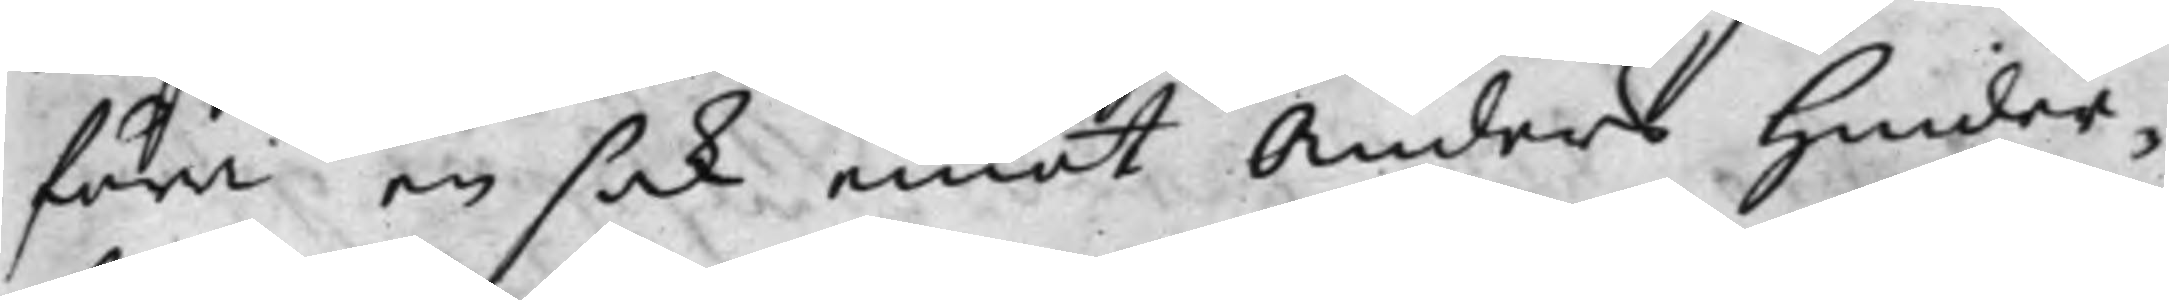föra en sak emot Anders Hinder¬
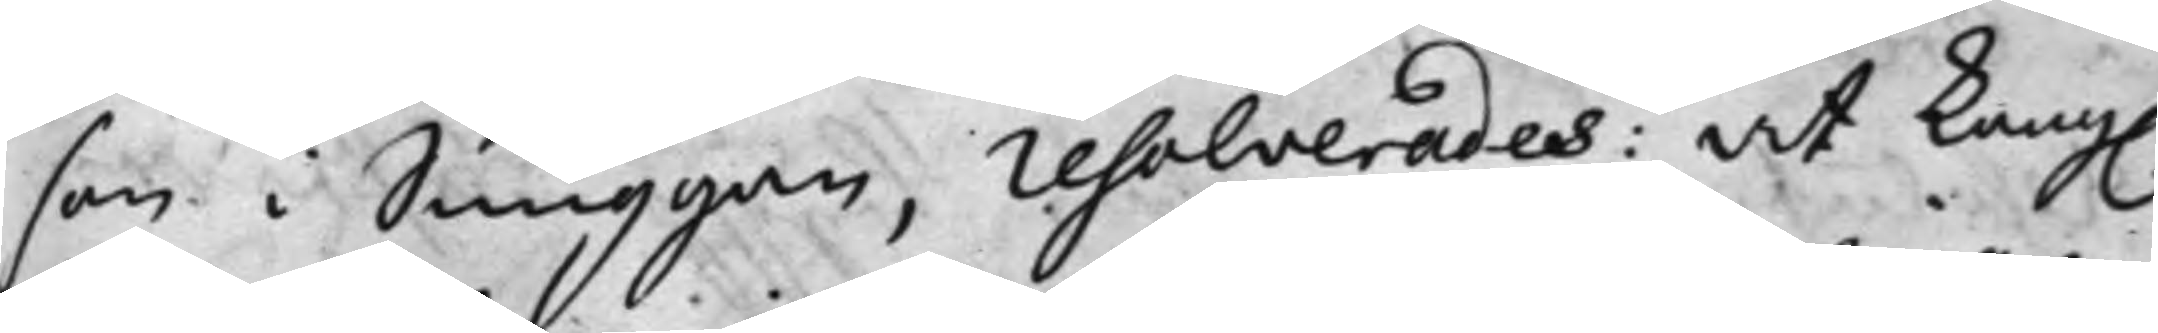son i Snuggan, resolverades: at Kong.
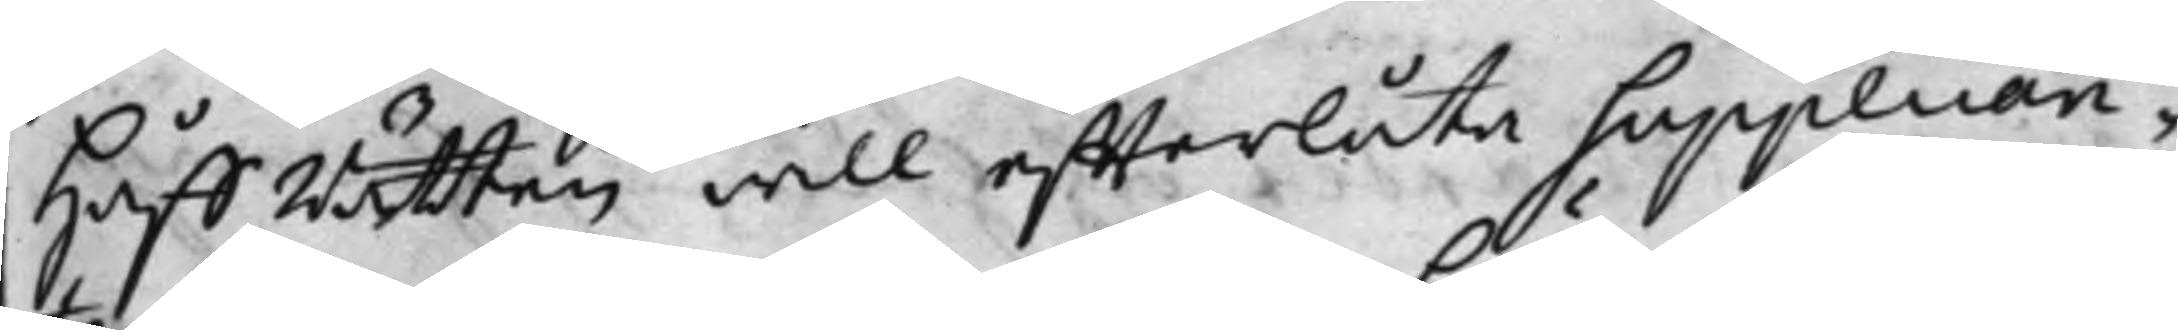HåffRätten will effterlåta Supplican¬
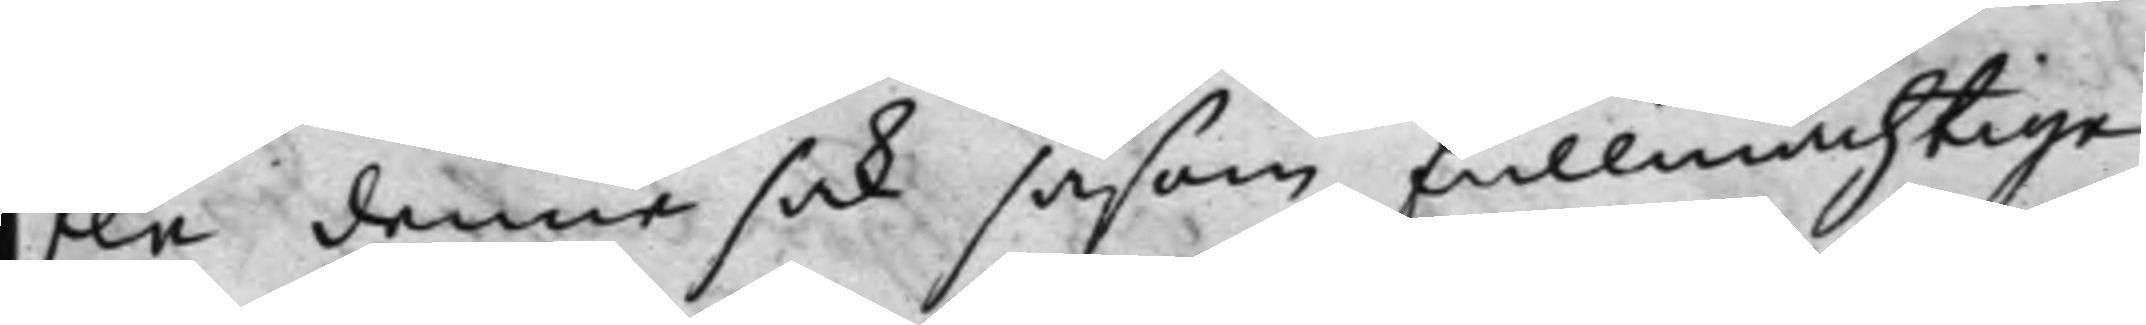ten denna sak såsom fullmächtige
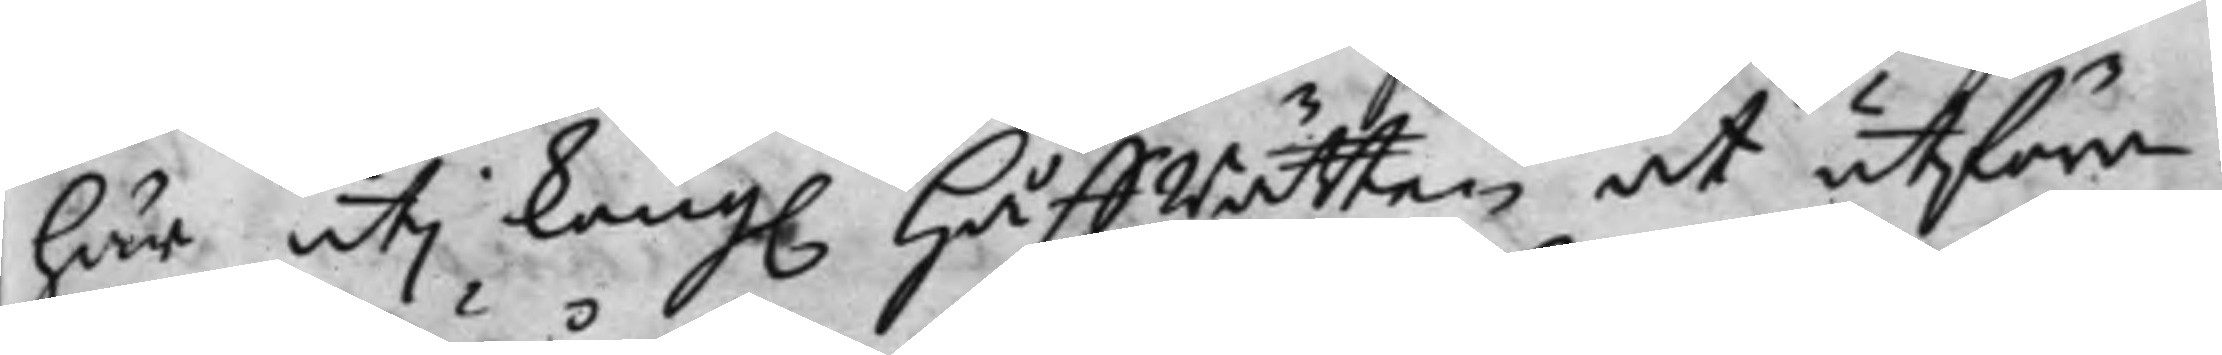här uti Kong. HåffRätten at utföra,
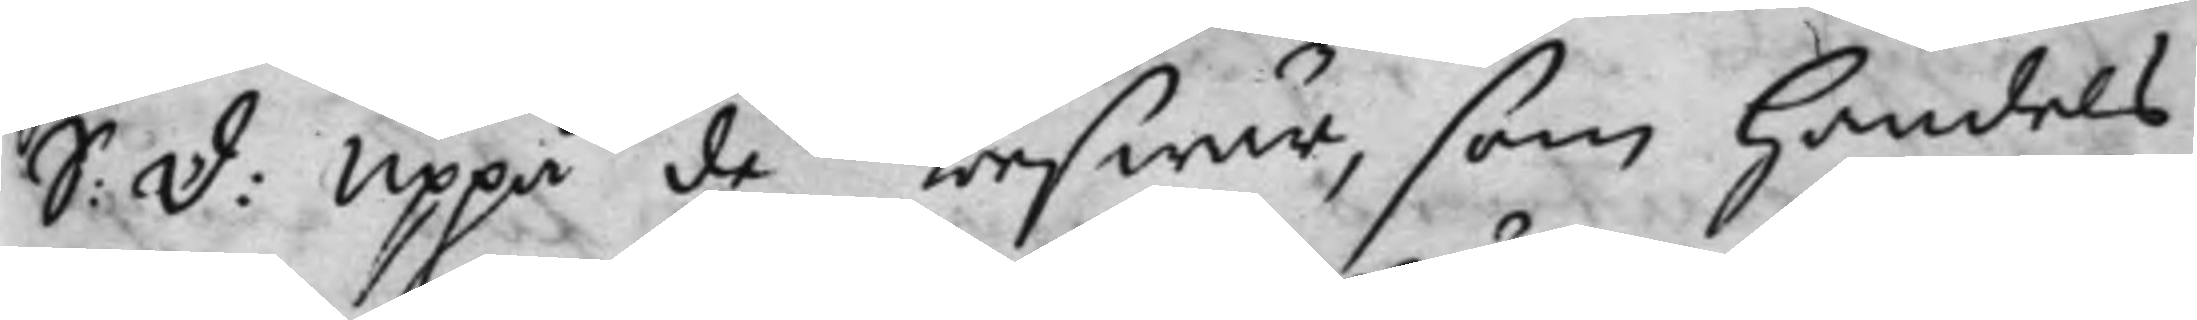S: D: Uppå de beswär, som Handels¬
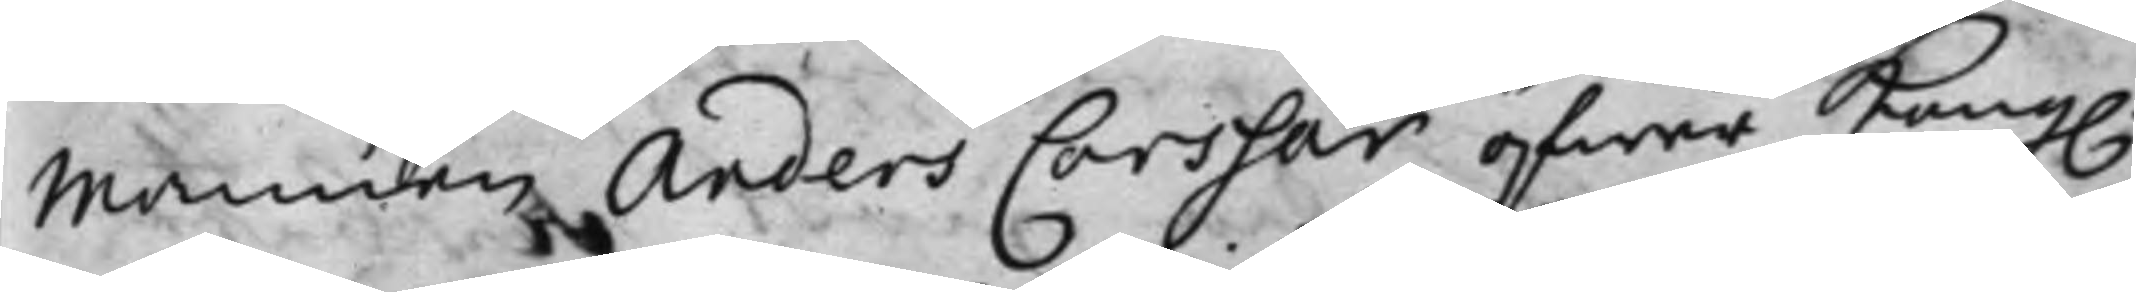Mannen Anders Corssar öfwer Kong.
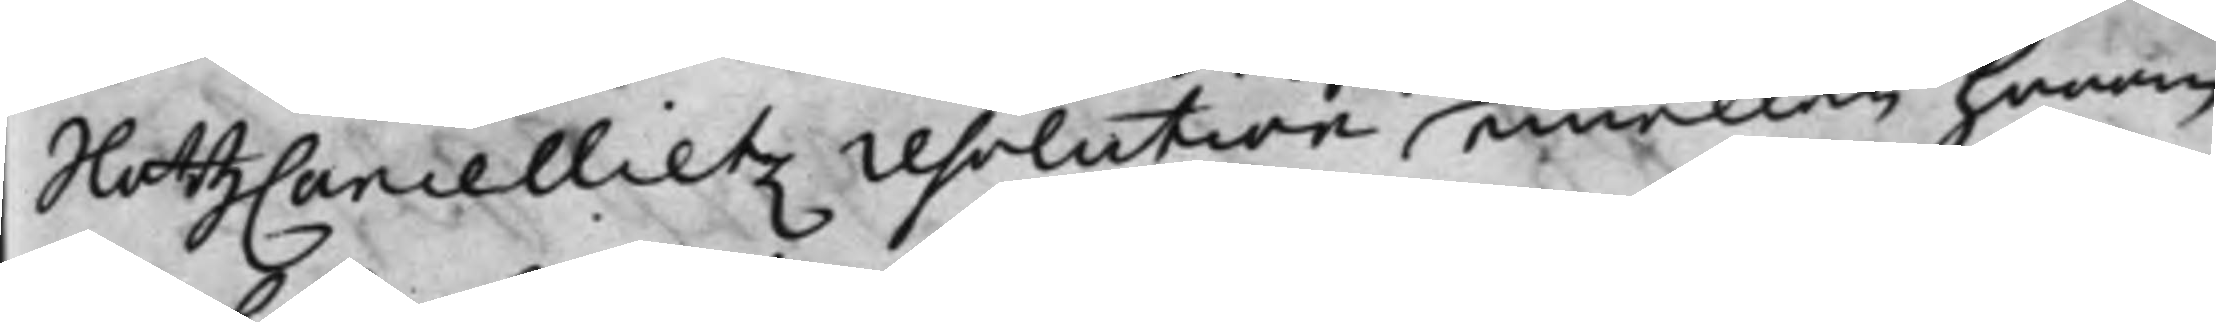SlottzCancellietz resolution, emellan honom
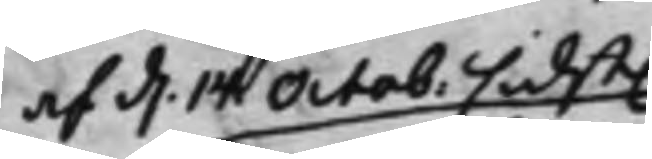af d. 14 Octob. sidst.
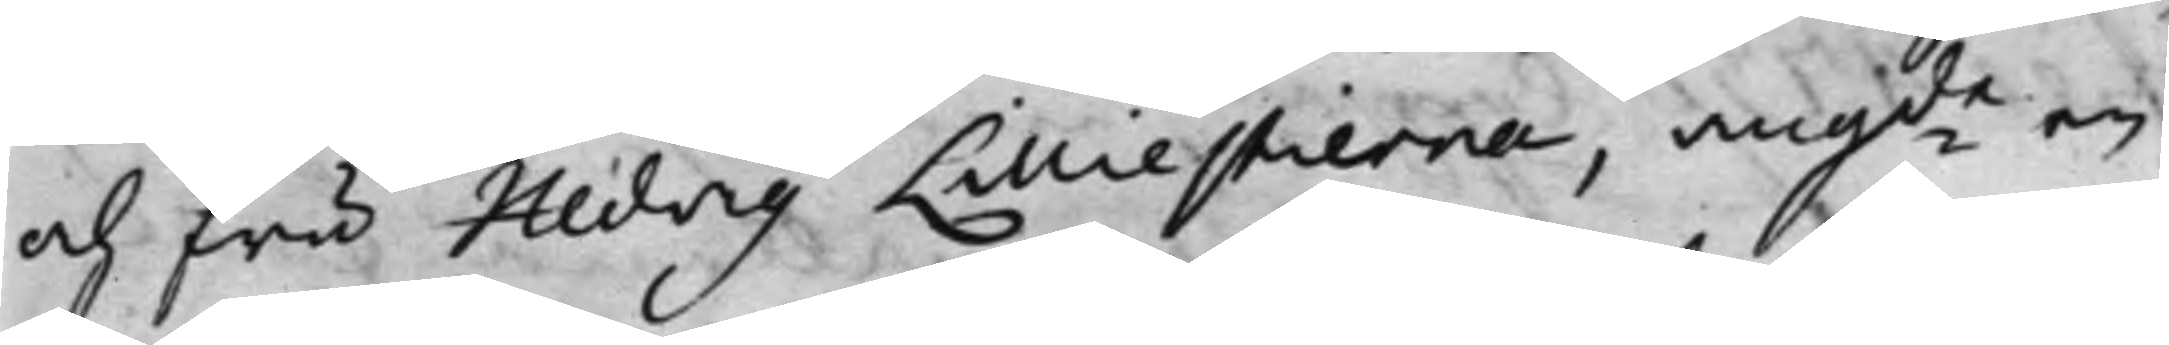och fru Hedvig Lilliestierna, angde en
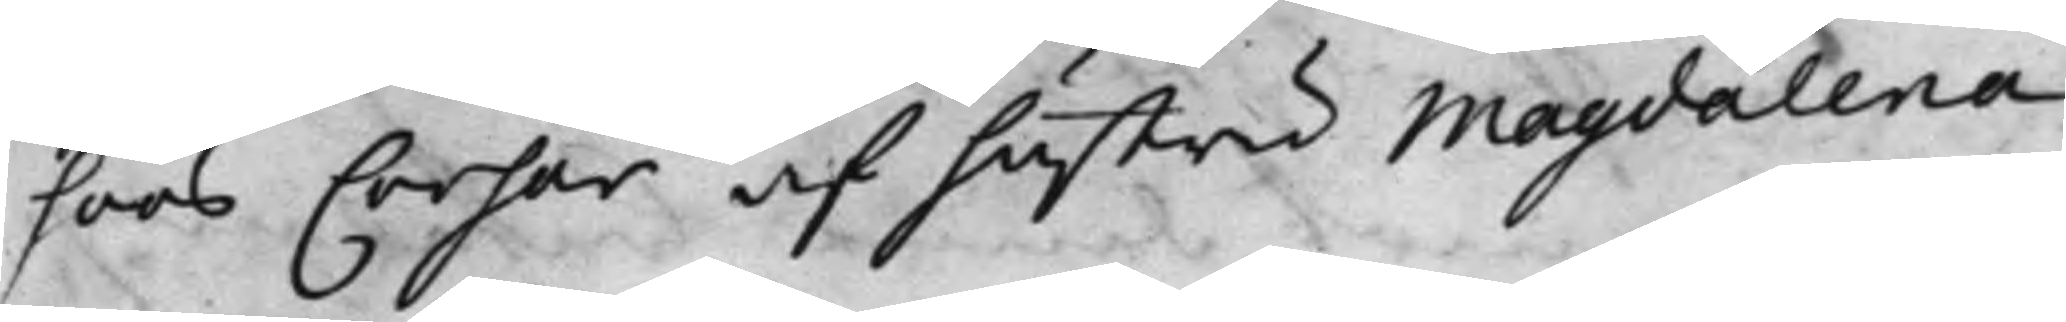hoos Corsar af hustru Magdalena
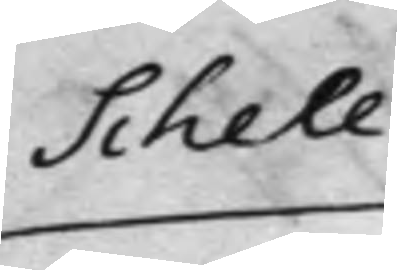Schell¬
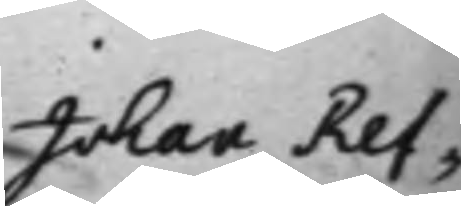Johan Ref¬
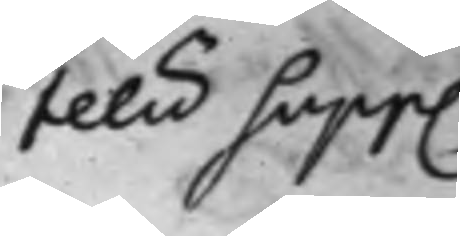telisSupp.
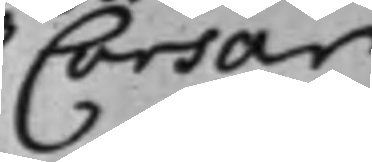Corsar
